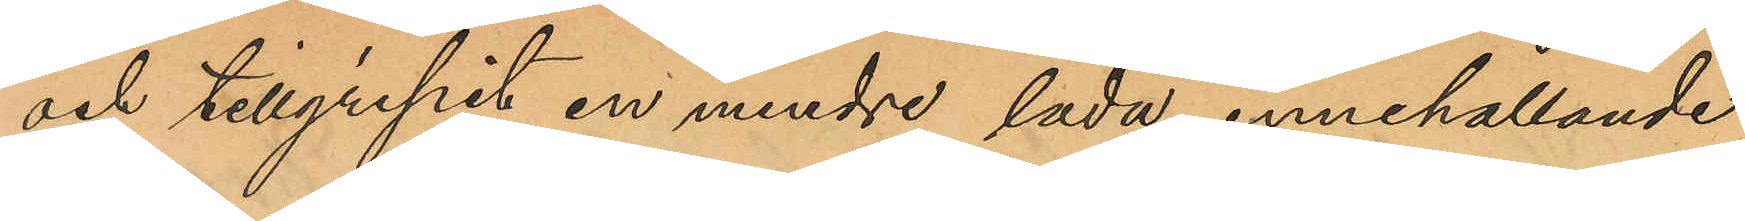och tillgripit en mindre låda, innehållande
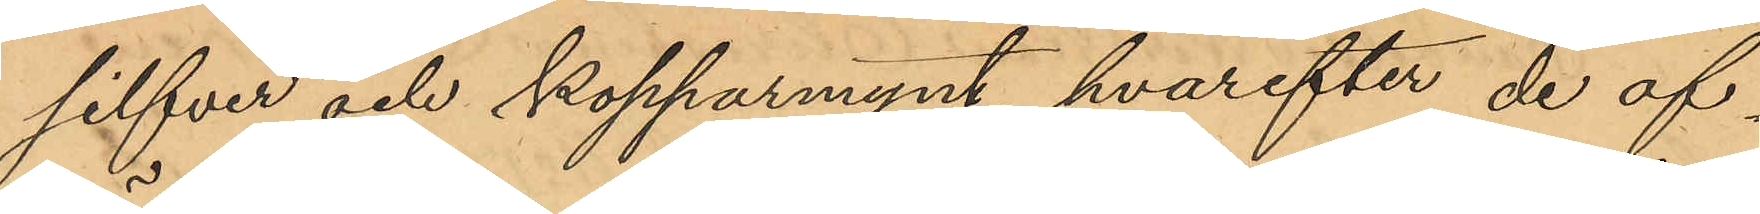silfver och kopparmynt, hvarefter de af¬
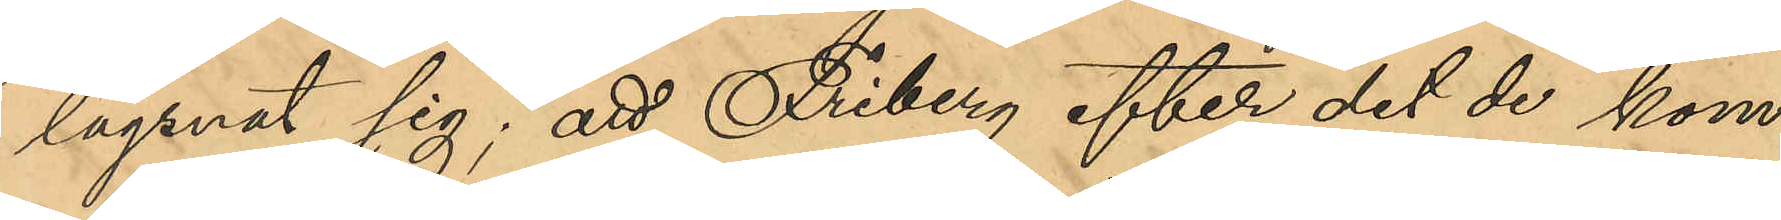lägsnat sig; att Friberg efter det de kom¬
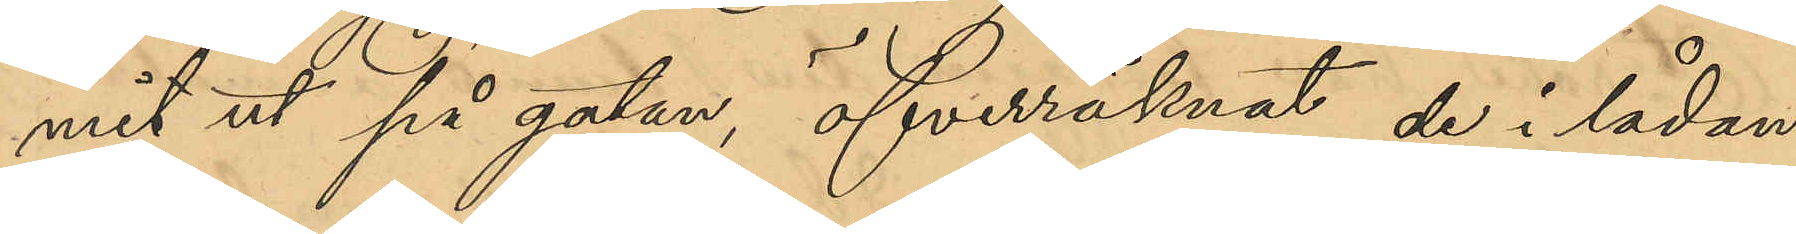mit ut på gatan, öfverräknat de i lådan
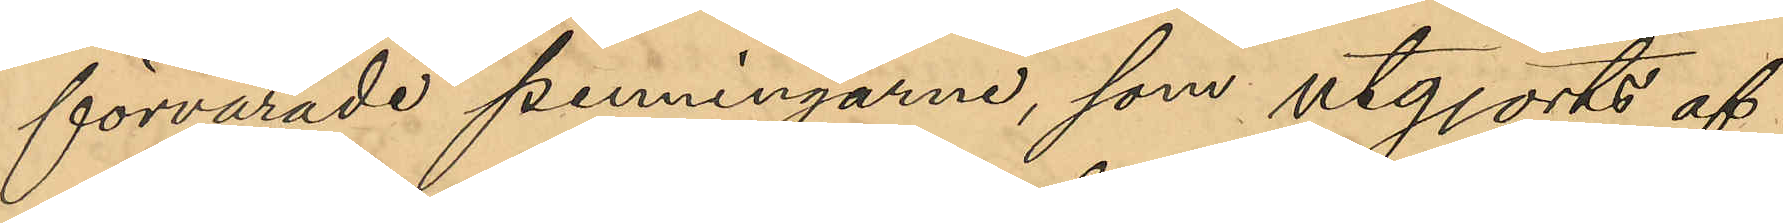förvarade penningarne, som utgjorts af
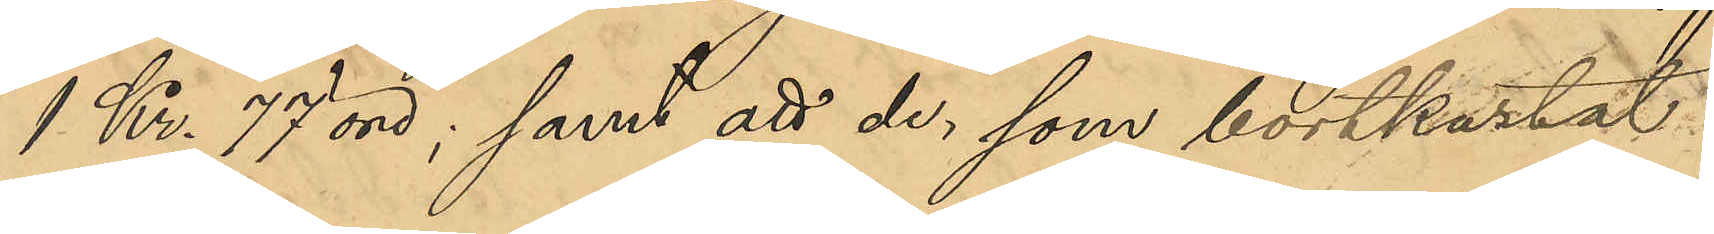1 Kr. 77 öre; samt att de, som bortkastat
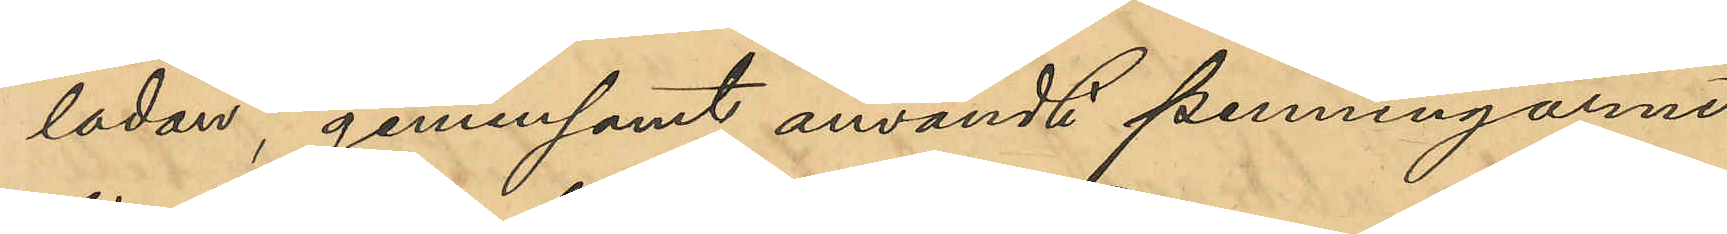lådan, gemensamt användt penningarne
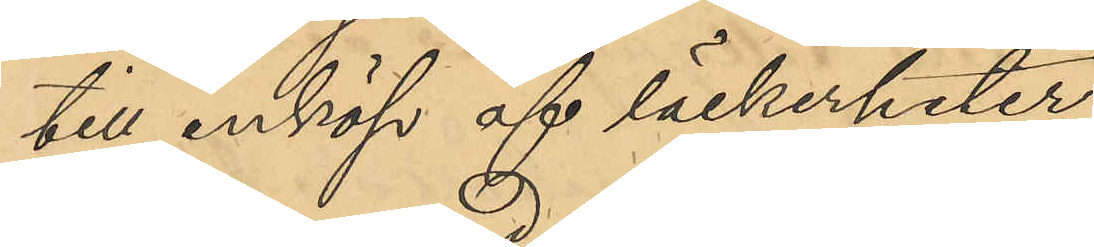till inköp af läckerheter.
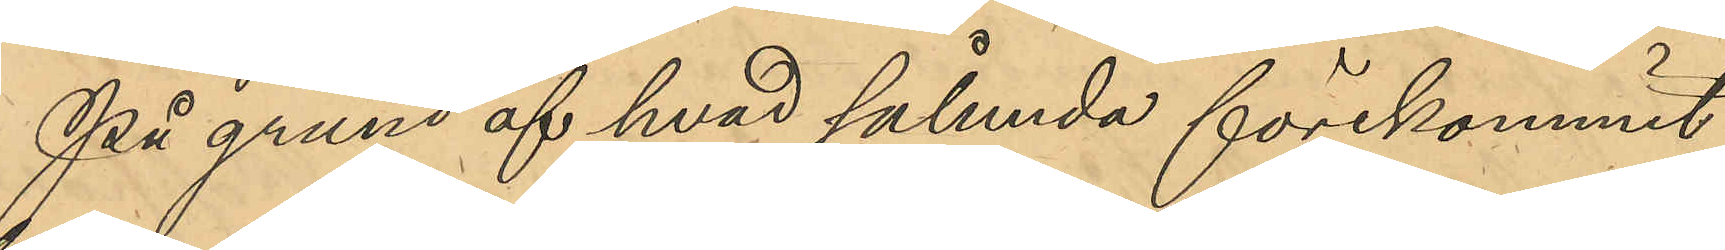På grund af hvad sålunda förekommit
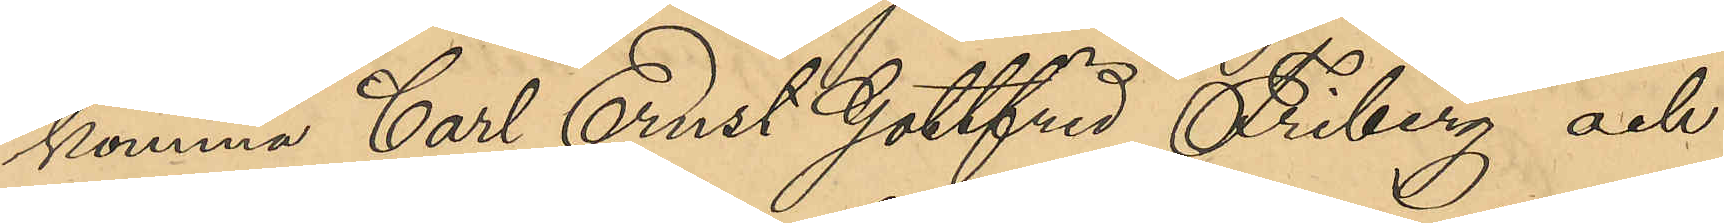komma Carl Ernst Gottfrid Friberg och
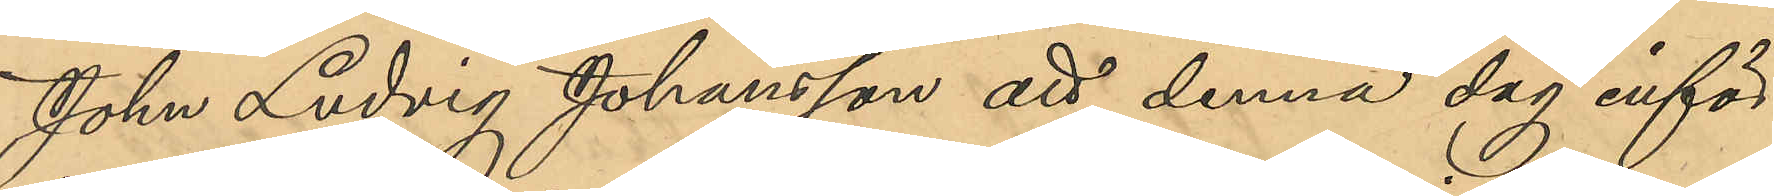John Ludvig Johansson att denna dag inför
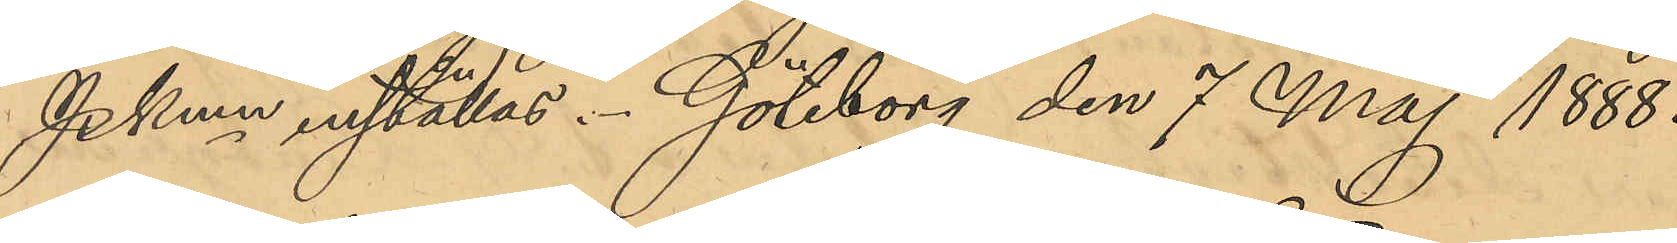Pkmn inställas. Göteborg den 7 Maj 1888.
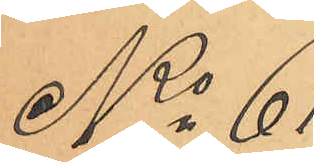No 61
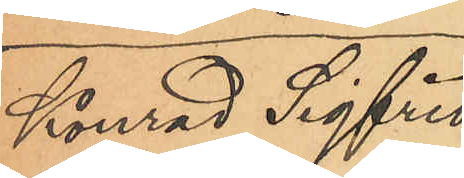Kånrad Sigfrid
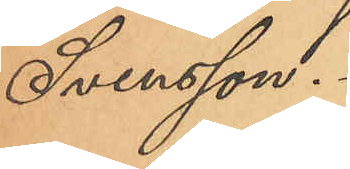Svensson.
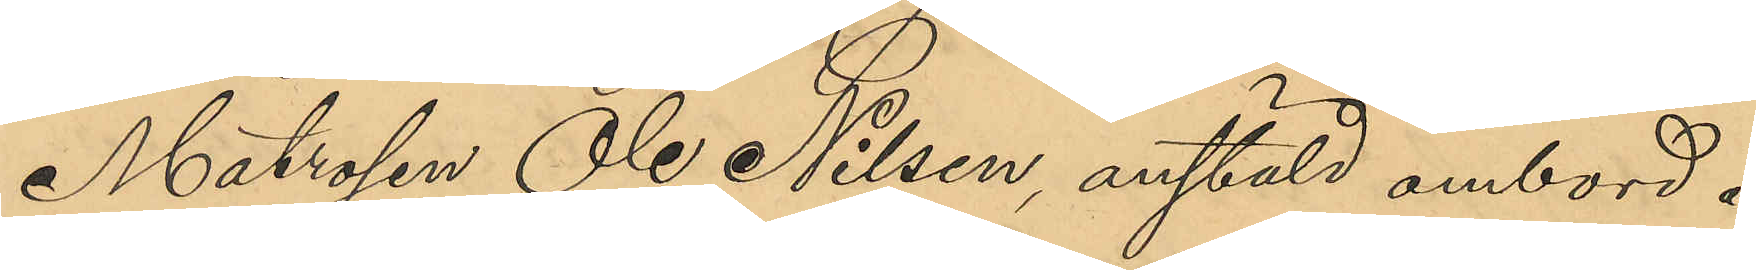Matrosen Ole Nilsen, anstäld ombord å
